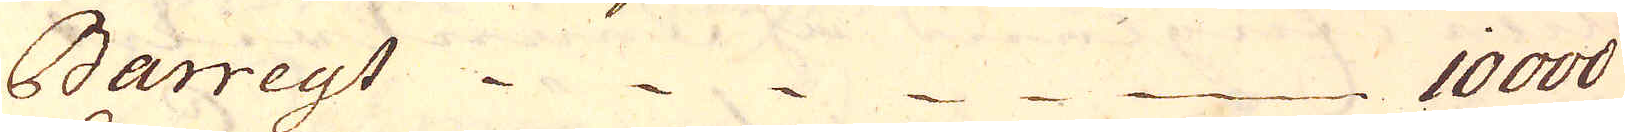Barreyt 10000
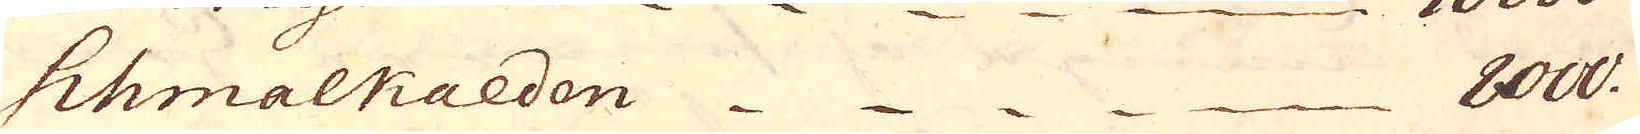Shmalkalden 8000.
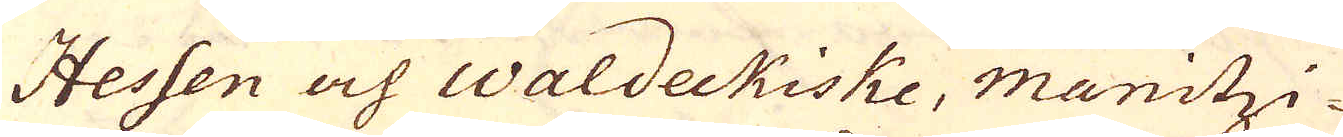Hessen och Waldeckiske, manitzi-
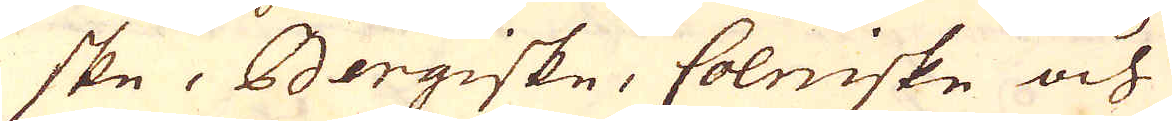ske, Bergiske, Colniske och
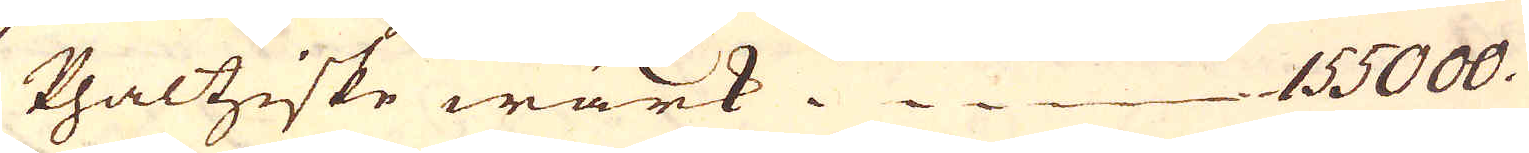Phaltziske wärk. 155000.
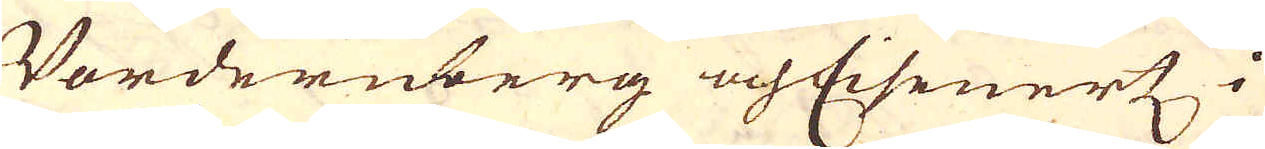Vordenberg och Eisenertz i
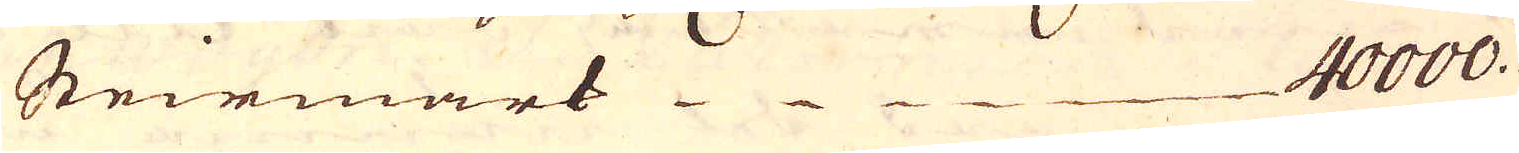Steirmark . 40000.
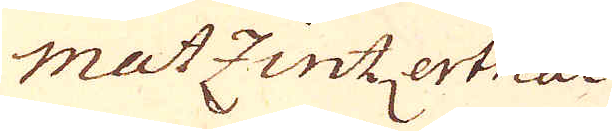matzintertna
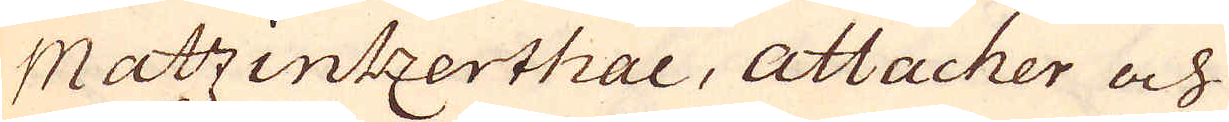Matzintzerthal, Attacher och
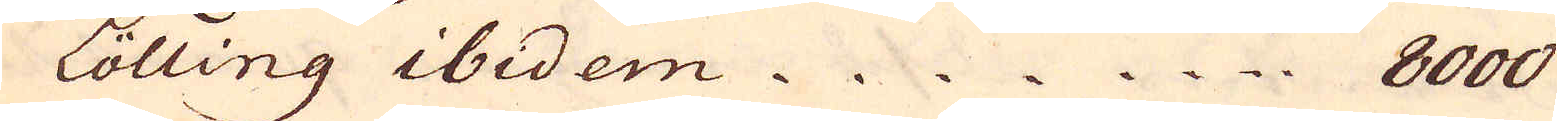Lölling ibedem. 8000
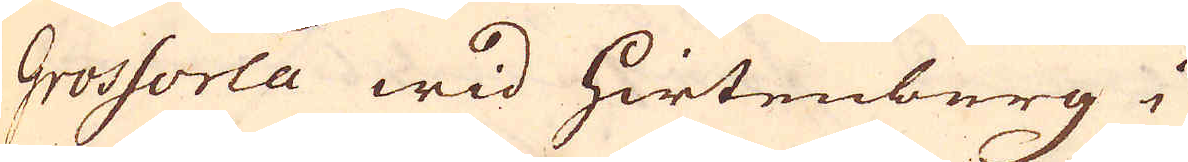Grossorla wid Hirtenburg i
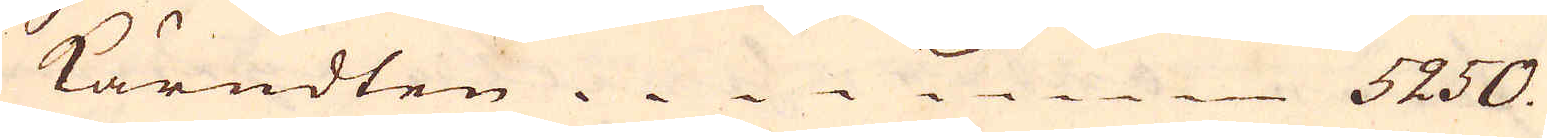Kärndten. 5250.
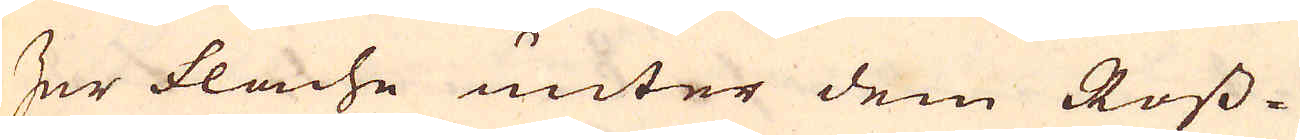Der flache unter dem Ross-
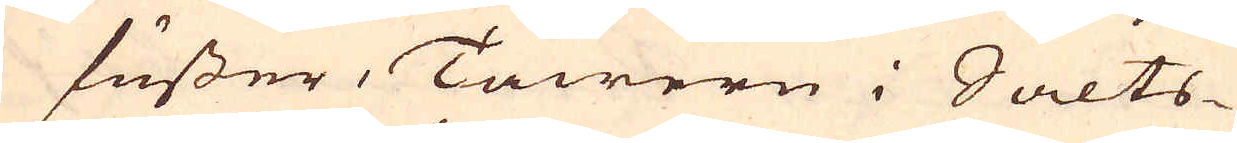fusser, Tawern i Salts-
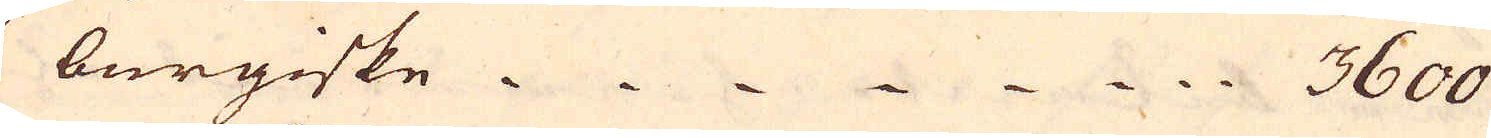burgiske 3600
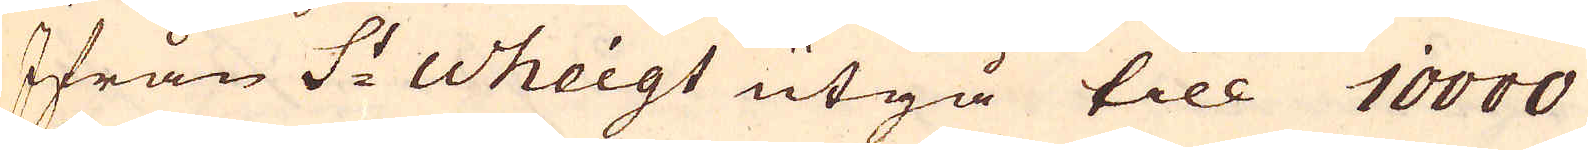Ifrån S:t Wheigt utgå till 10000
